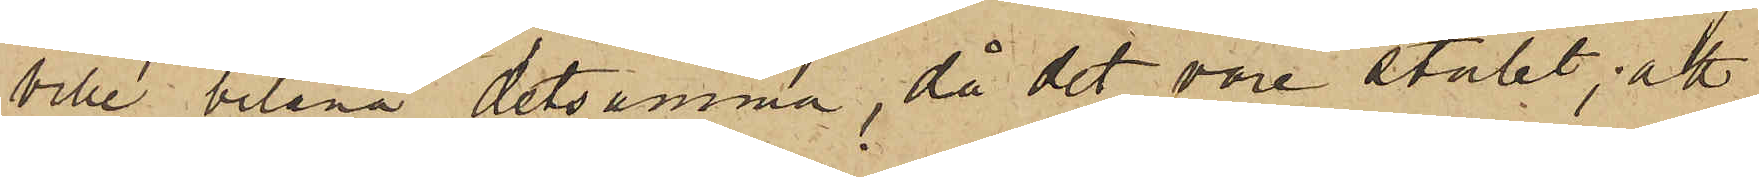ville belåna detsamma, då det vore stulet; att
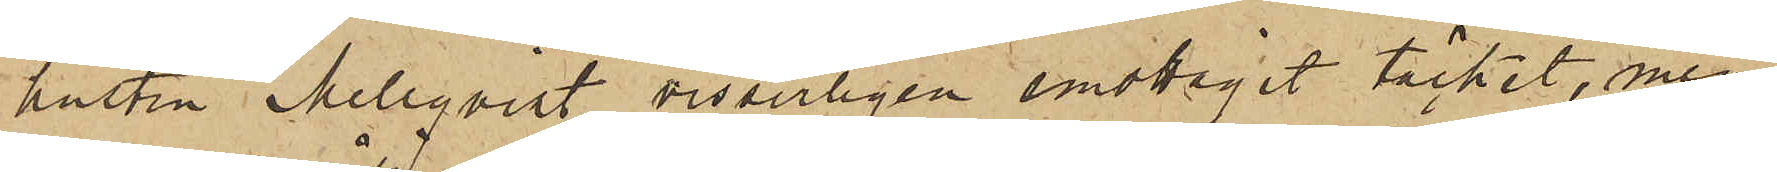hustru Mellqvist visserligen emottagit täcket, men
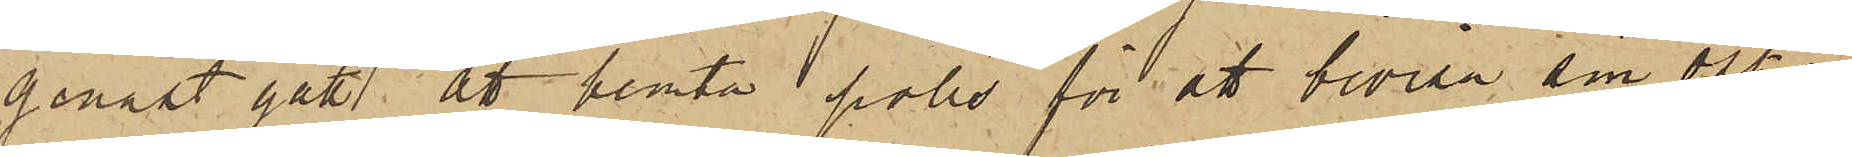genast gått att hemta polis för att bevisa sin oskuld;
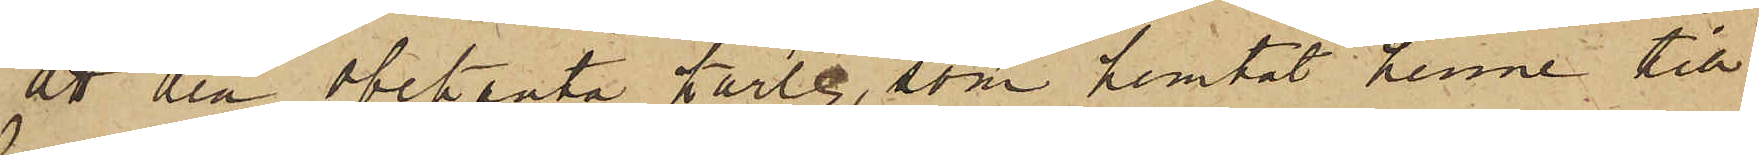att den obekanta karlen, som hemtat henne till
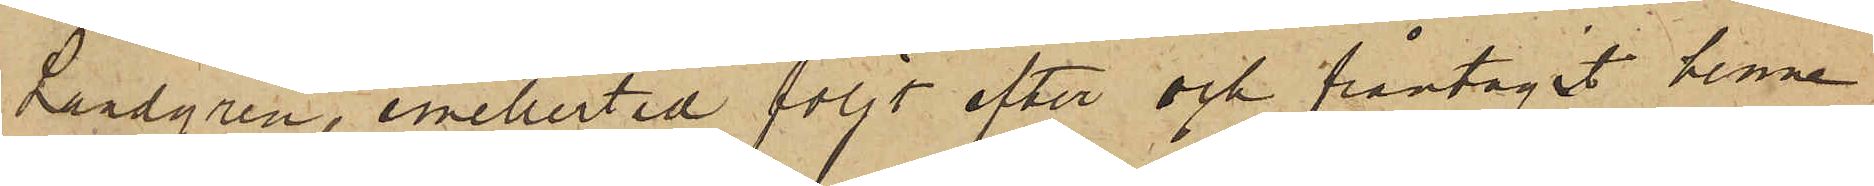Landgren, emellertid följt efter och fråntagit henne
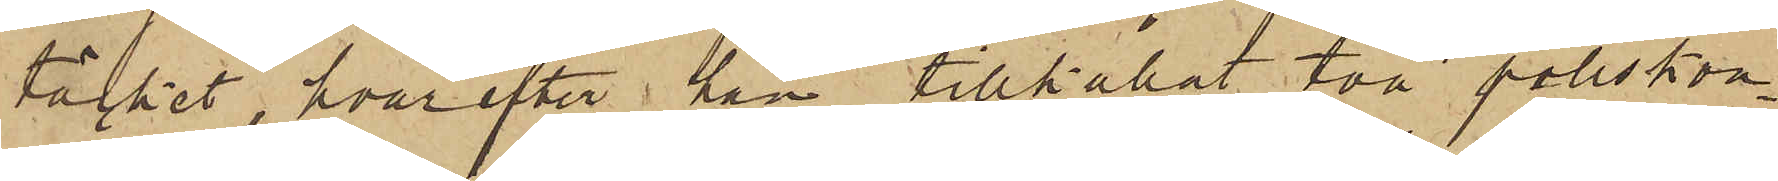täcket, hvarefter han tillkallat två poliskon¬
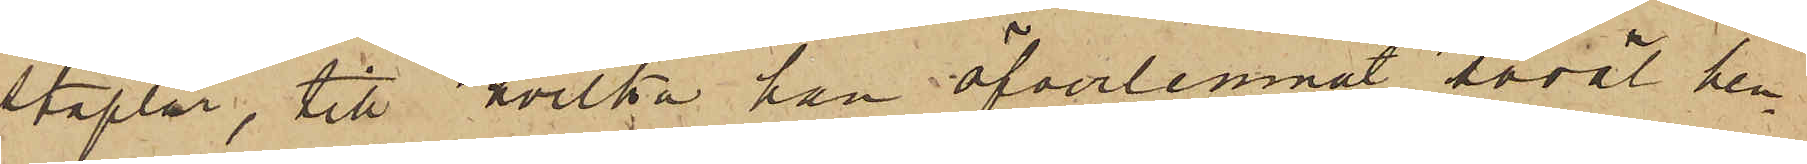staplar, till hvilka han öfverlemnat såväl hen¬
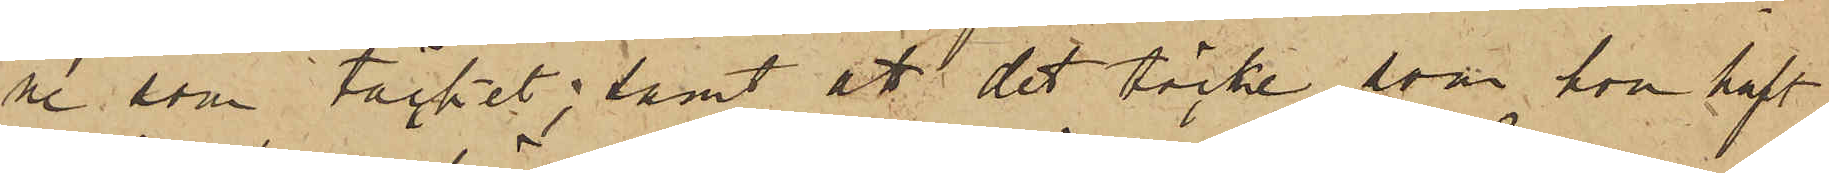ne som täcket; samt att det täcke, som hon haft
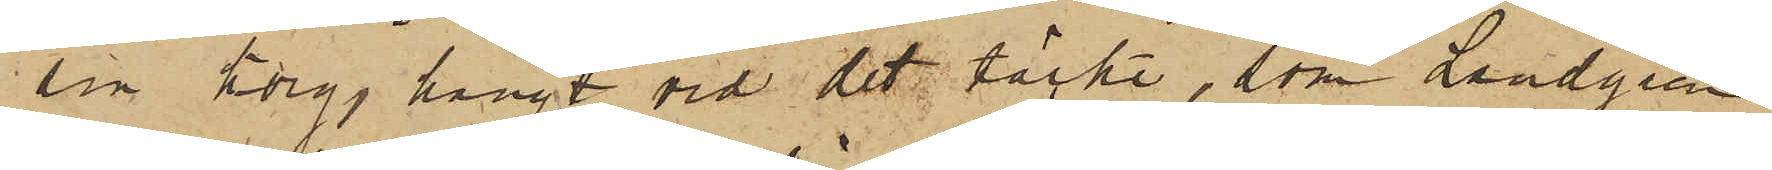i sin korg, hängt vid det täcke, som Landgren
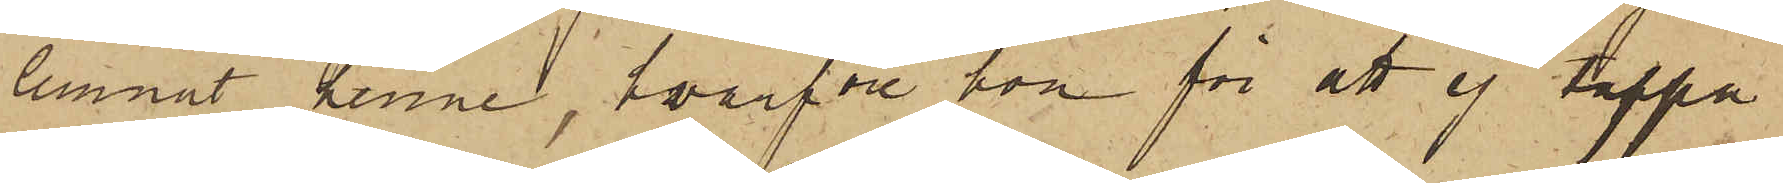lemnat henne, hvarföre hon för att ej tappa
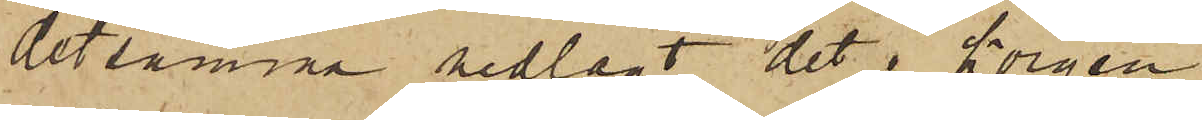detsamma nedlagt det i Korgen
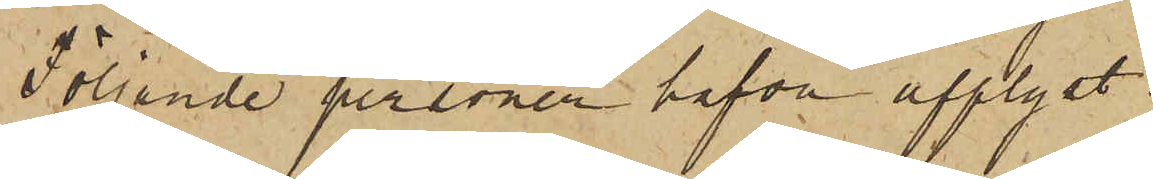Följande personer hafva upplyst:
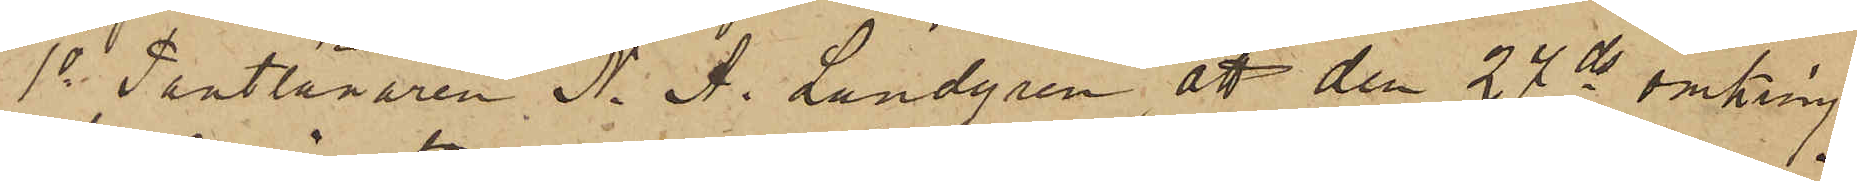1o Pantlånaren N. A. Lundgren att den 24 ds omkring
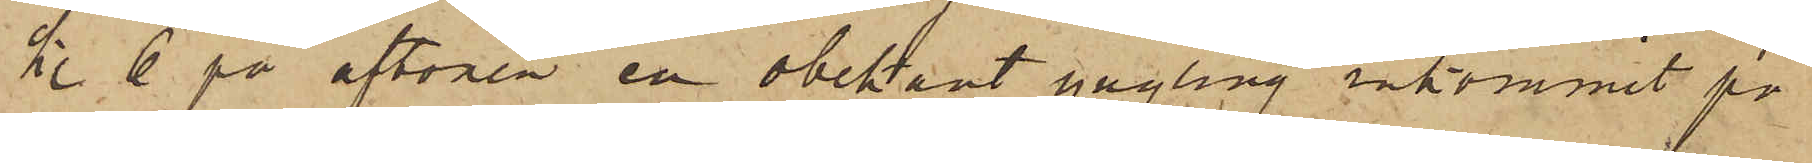kl. 6 på aftonen en obekant yngling inkommit på
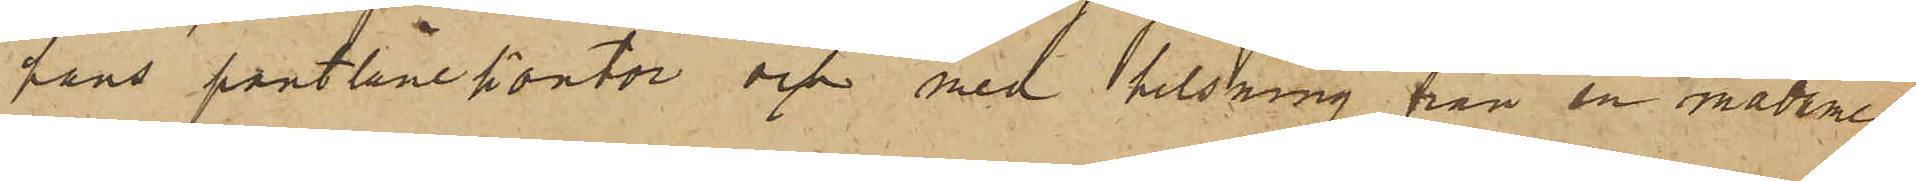hans pantlånekontor och med helsning från en madame
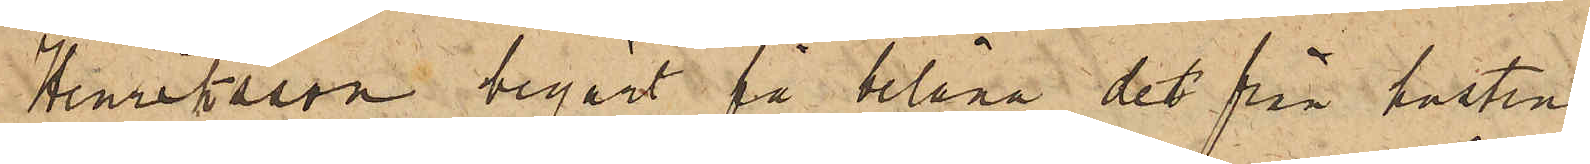Henriksson begärt få belåna det från hustru
